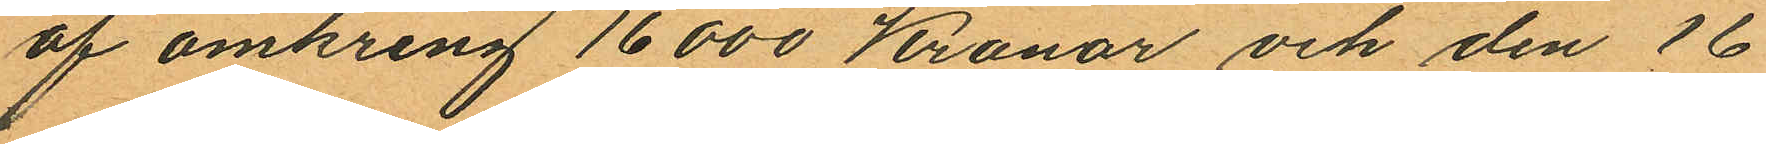af omkring 16000 Kronor och den 16
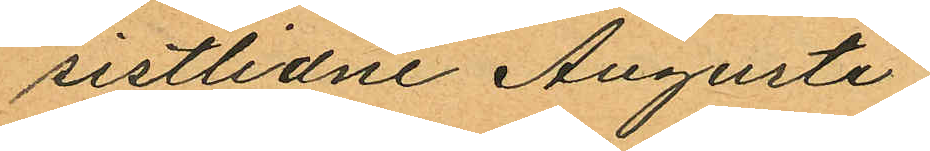sistlidne Augusti;
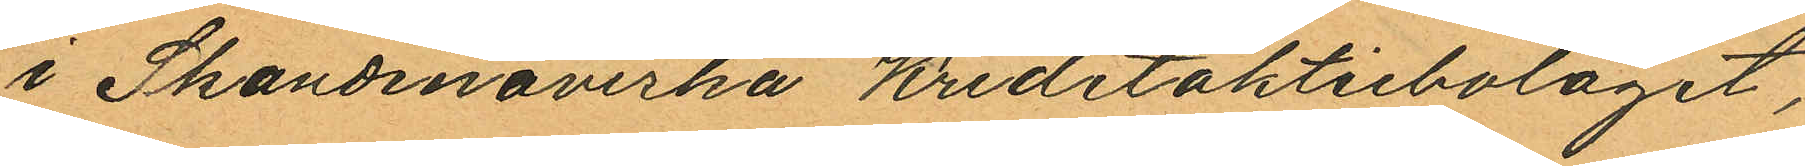i Skandinaviska Kreditaktiebolaget,
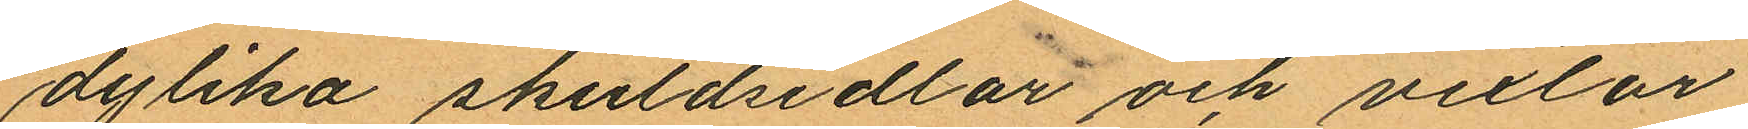dylika skuldsedlar och vexlar
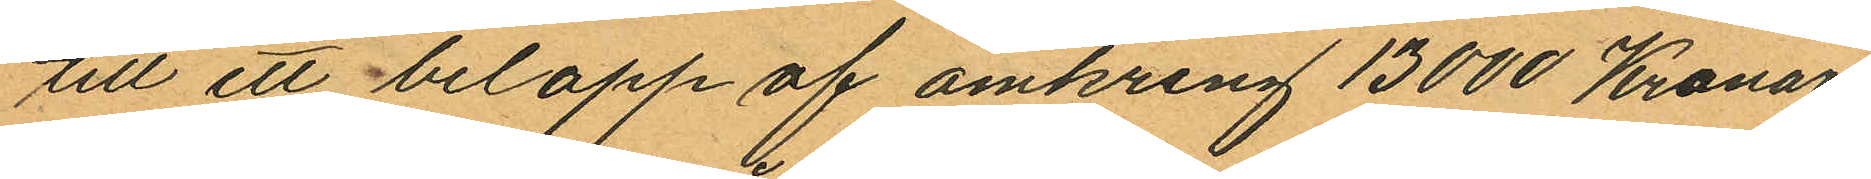till ett belopp af omkring 13000 Kronor
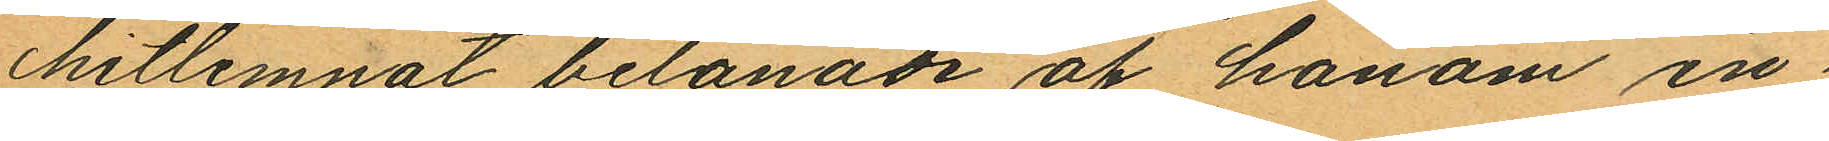hitlemnat belånade af honom in¬
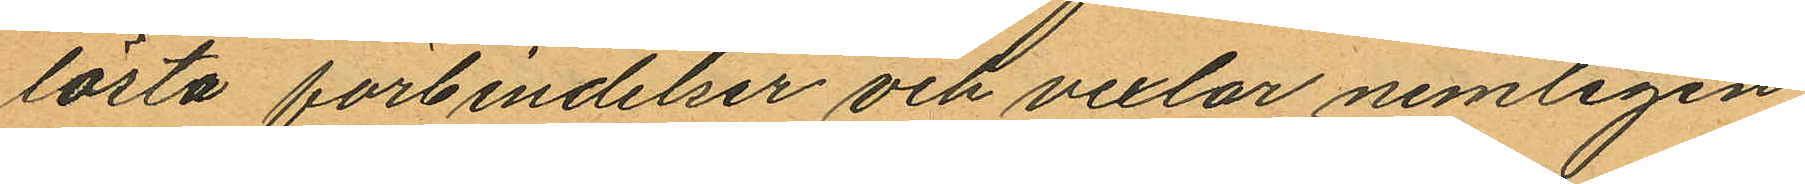lösta förbindelser och vexlar nemligen
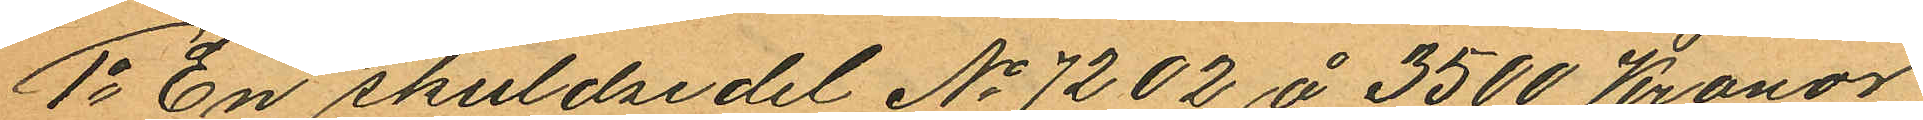1o En skuldsedel No 7202 å 3500 Kronor
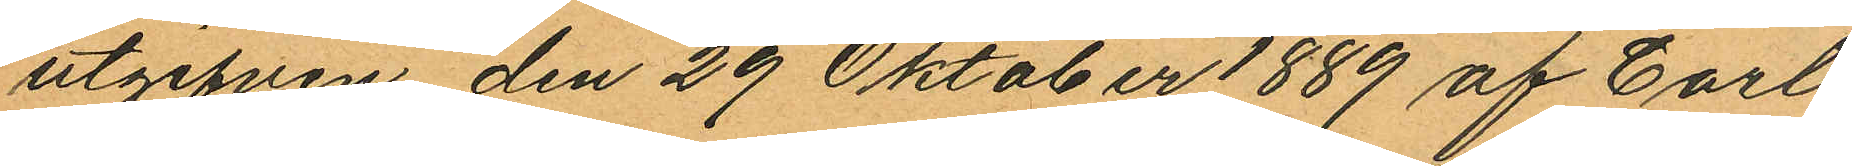utgifven den 29 Oktober 1889 af Carl
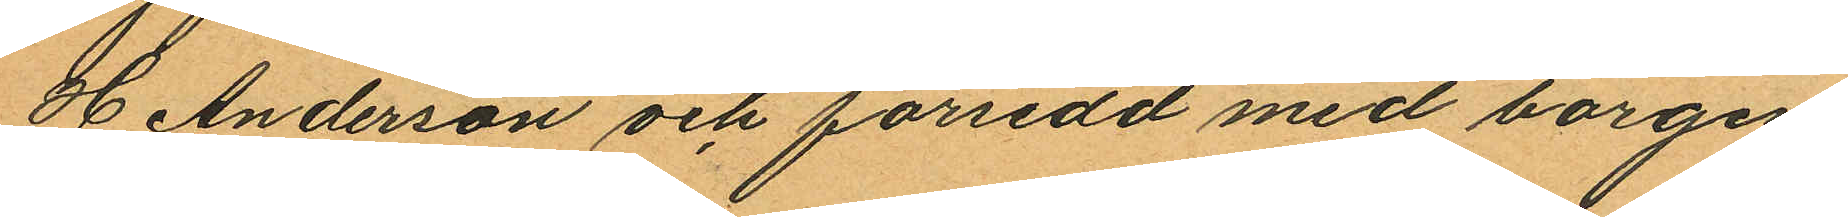H Anderson och försedd med borgen
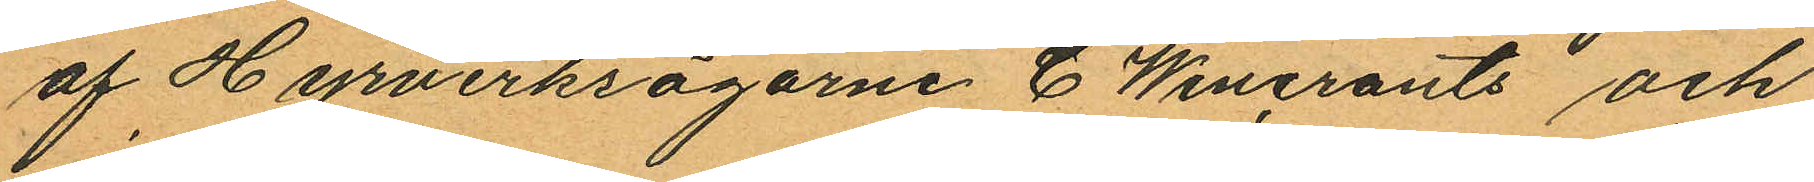af Hyrverksägarne C Wincrants och
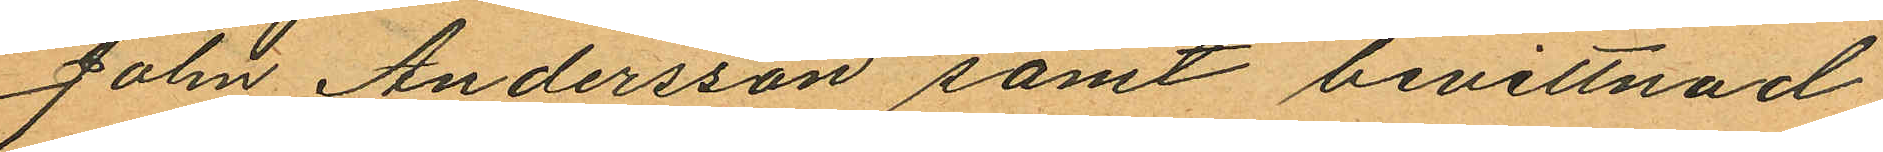John Andersson samt bevittnad
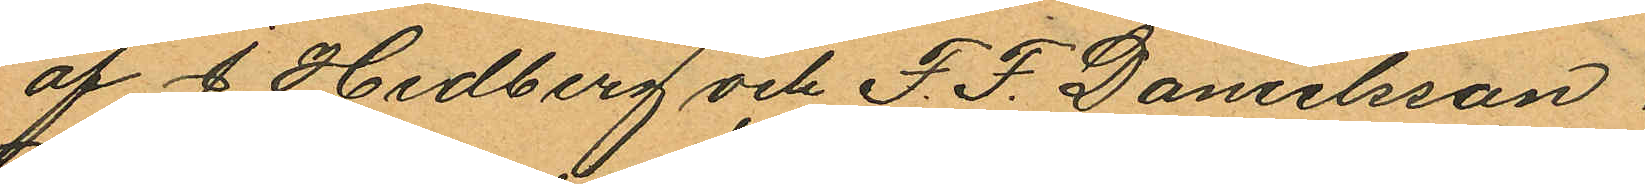af J. Hedberg och F. F. Danielsson.
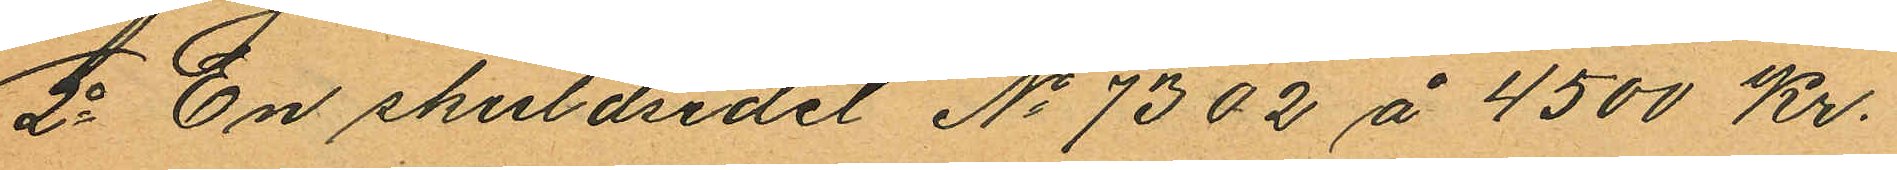2o En skuldsedel No 7302 å 4500 Kr.
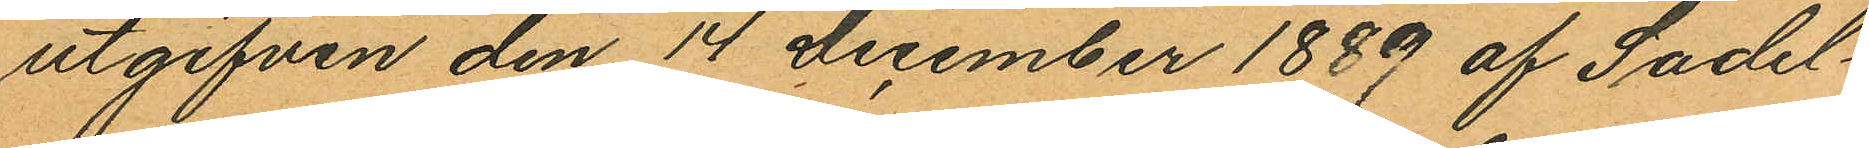utgifven den 14 december 1889 af Sadel¬
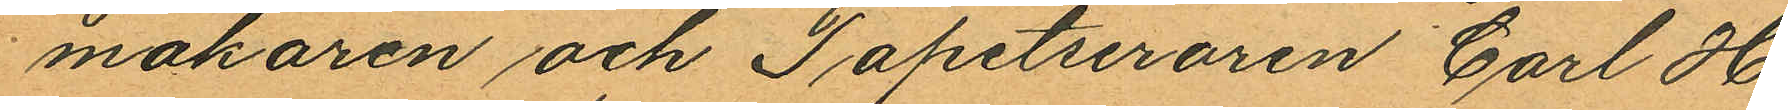makaren och Tapetseraren Carl H.
